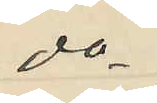do
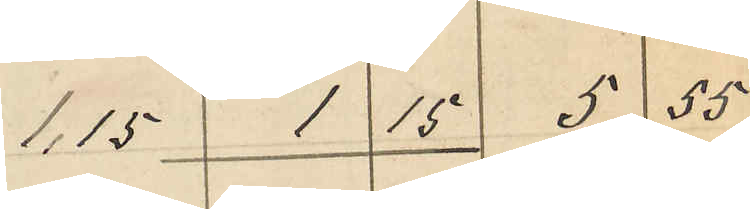1,15 1 15 5 55
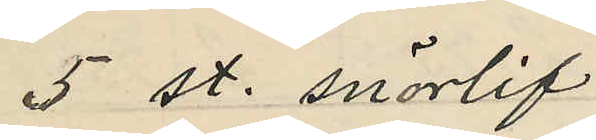5 st. snörlif
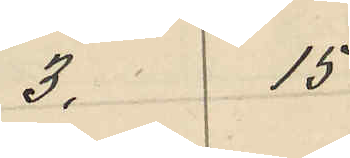3, 15
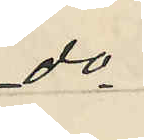do
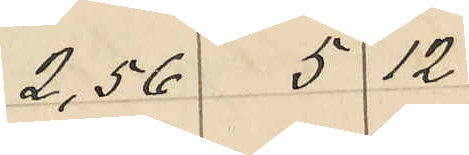2,56 5 12
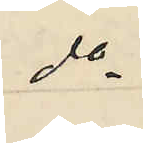do
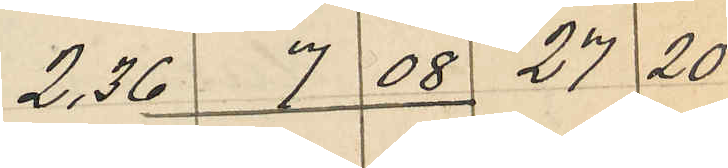2,36 7 08 27 20
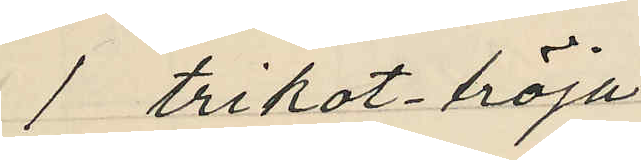1 trikot-tröja
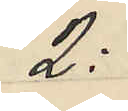2:
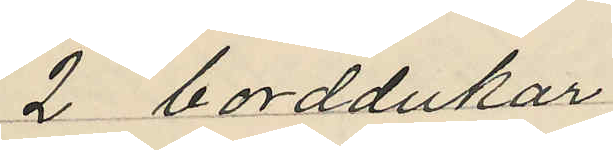2 borddukar
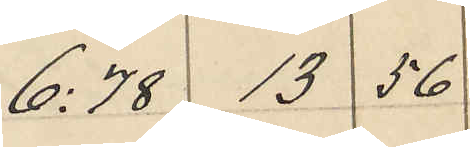6:78 13 56
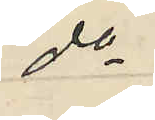do
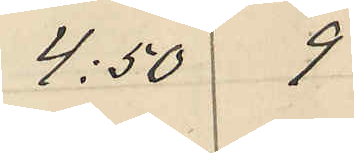4:50 9
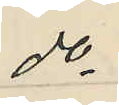do
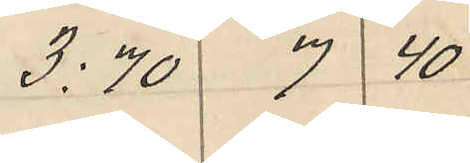3,70 7 40
